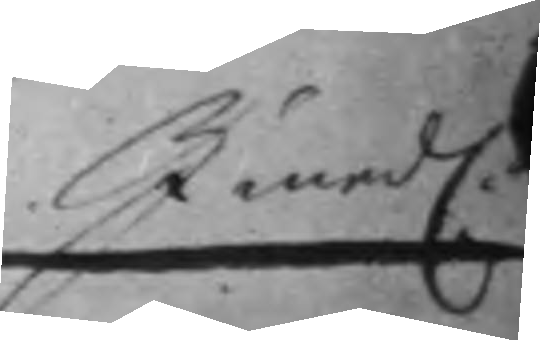Imedl.
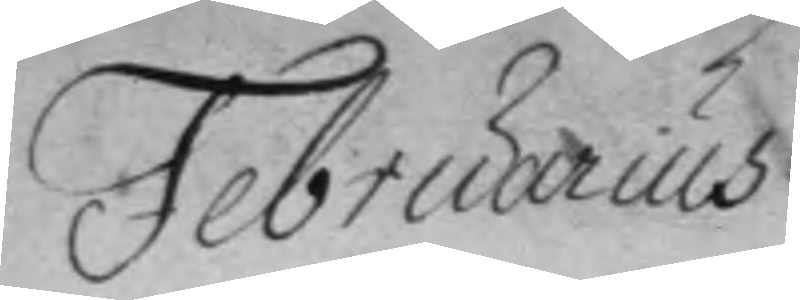Februarius
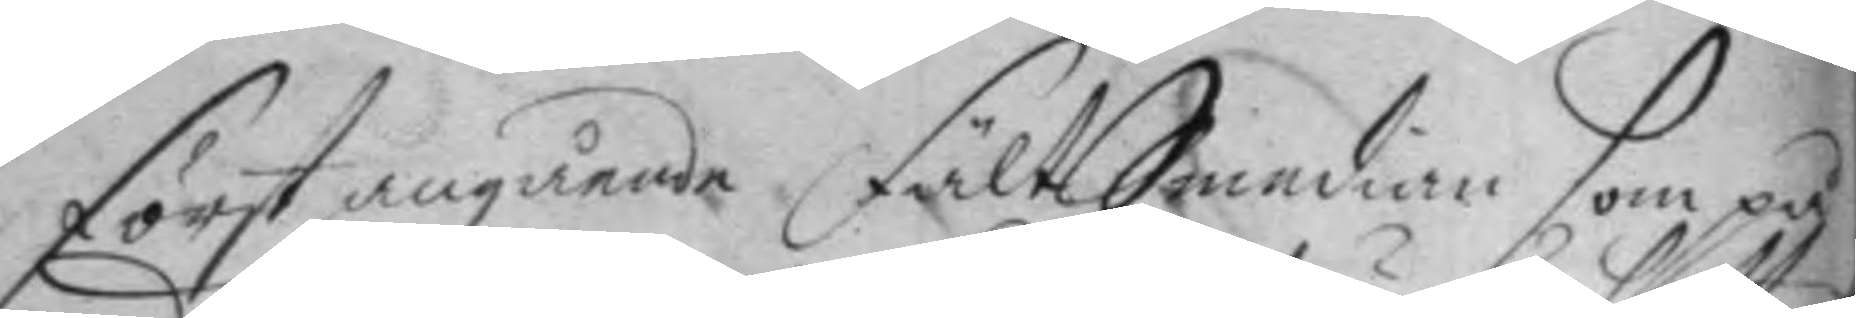först angående fältSmedian som på
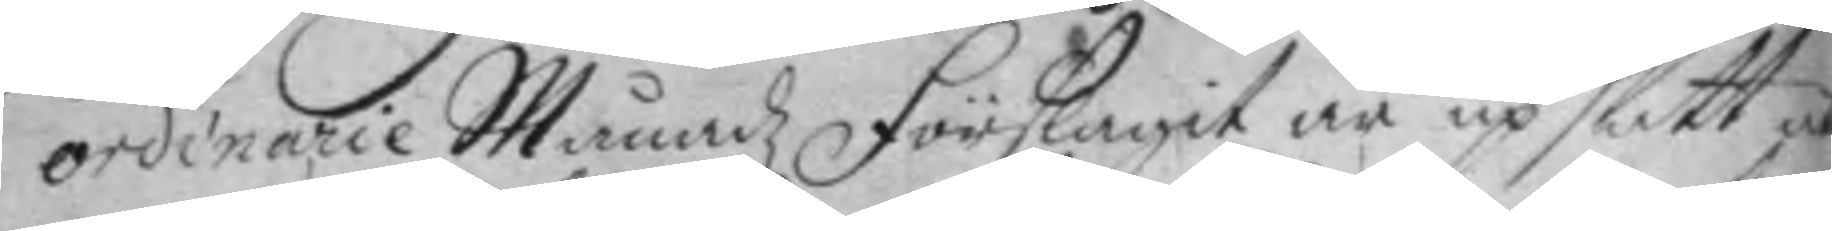ordinarie Månadz förslagit är upsatt ut¬
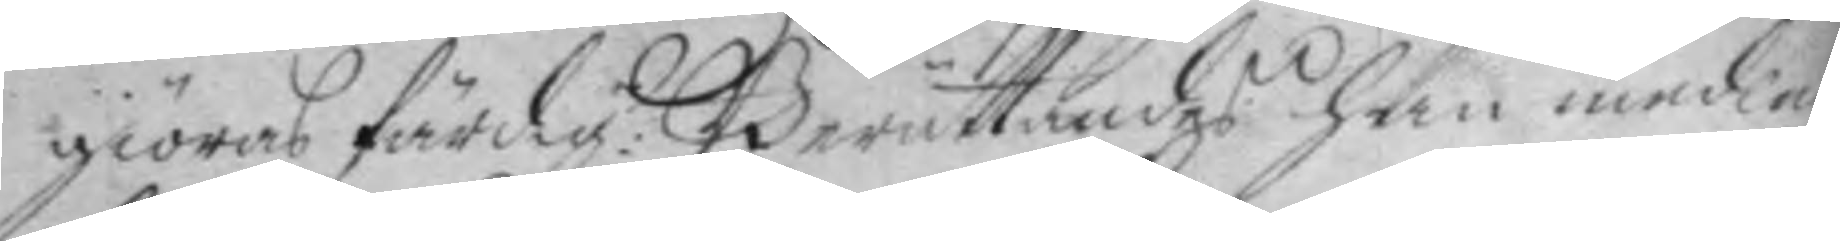giöras färdig: Berättandes han medlen
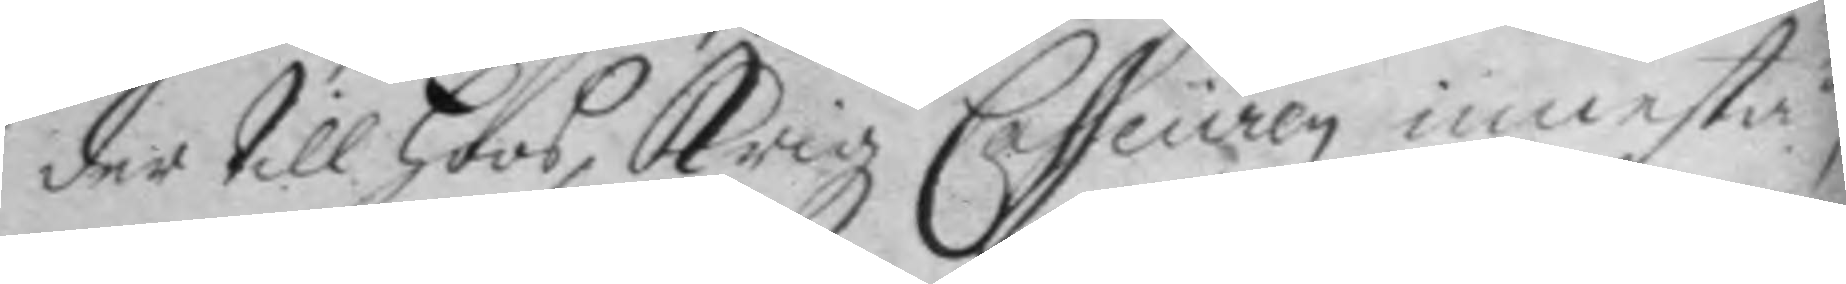der till hoos Krigz Casseuren innestå,
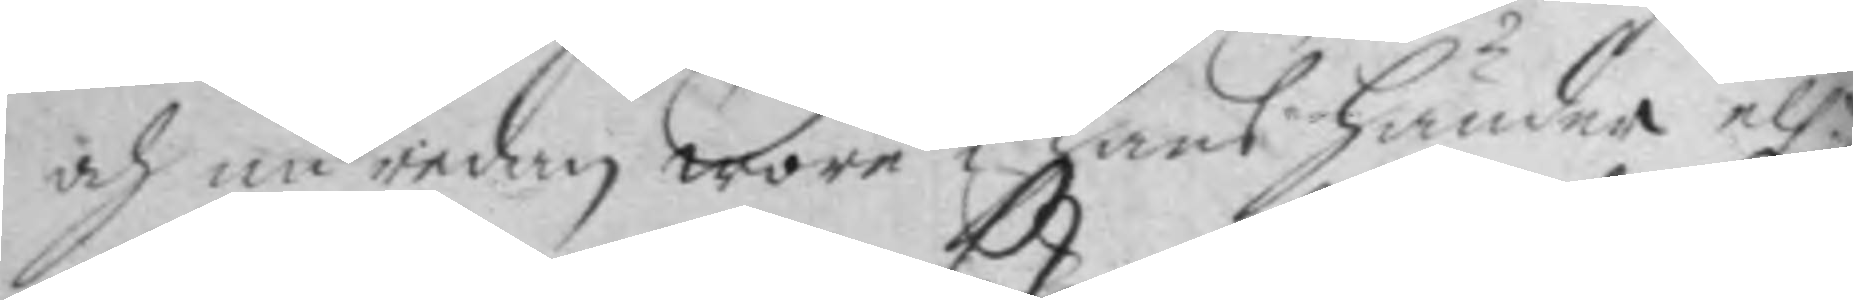och nu redan wore i hans händer ell.r
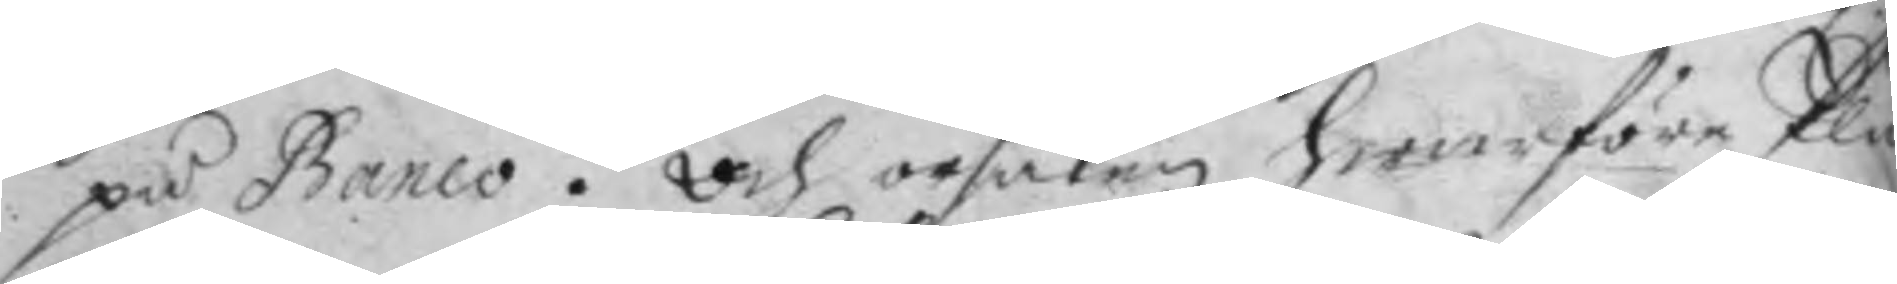på banco. och orsaken hwarföre Plå¬
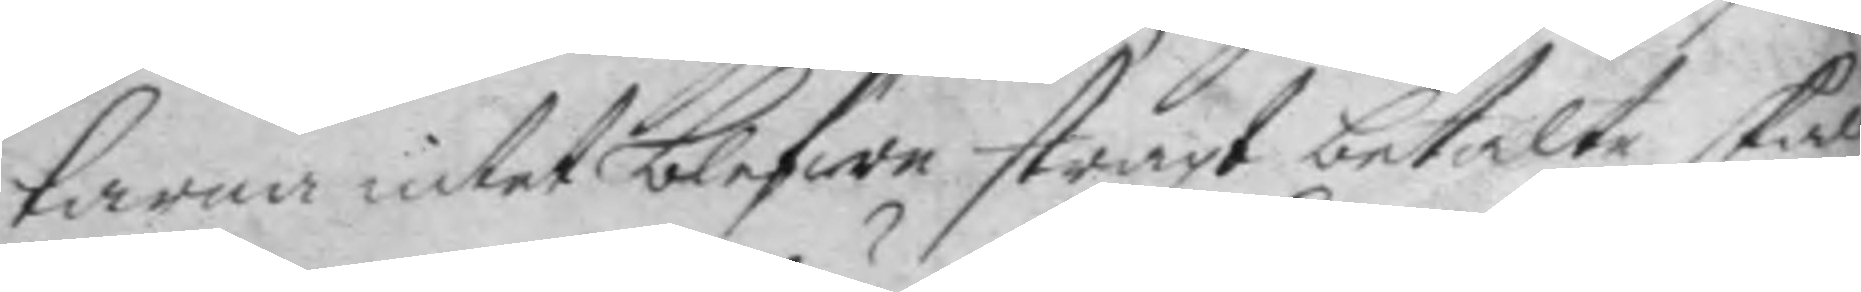tarna intet blifwa straxt betala skall
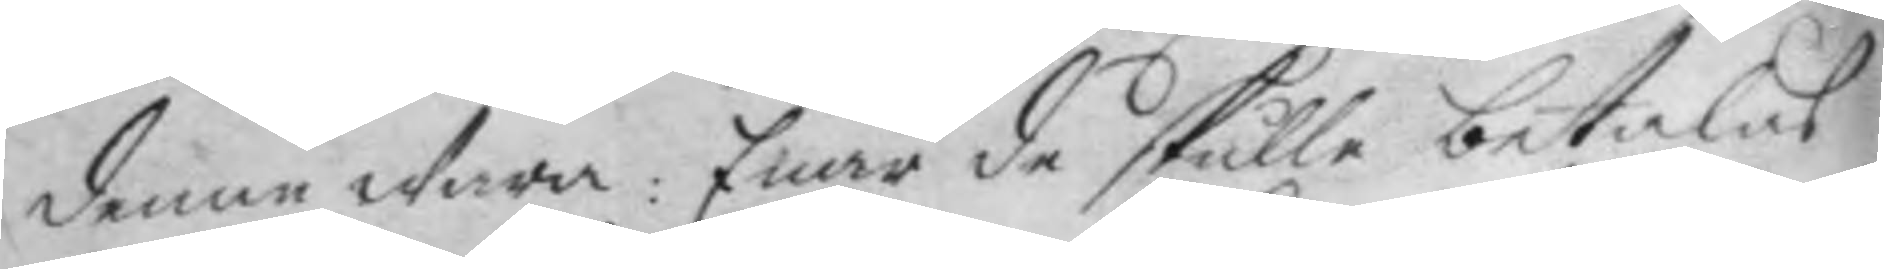denne Wara: Enär de skulle betalas
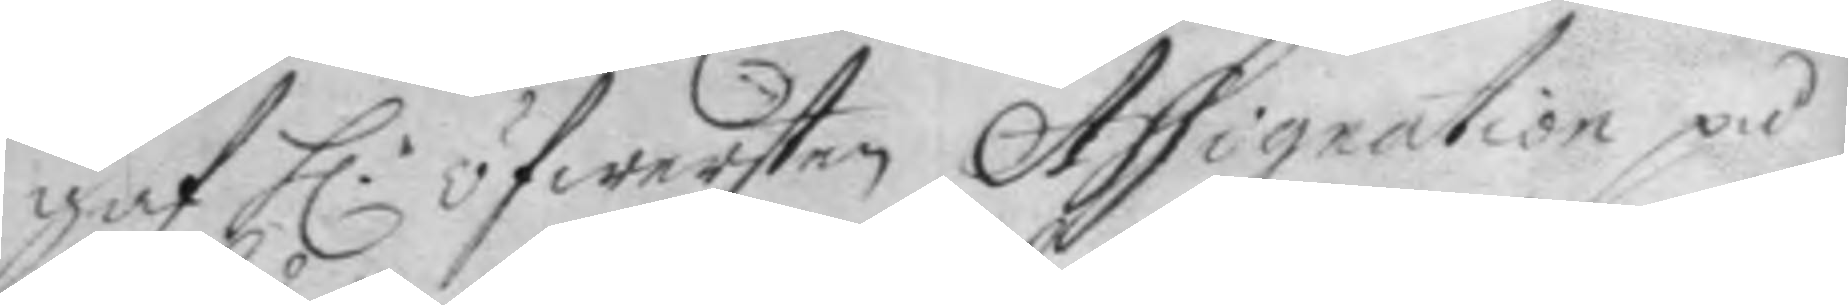gaf h.r öfwersten Assignation på
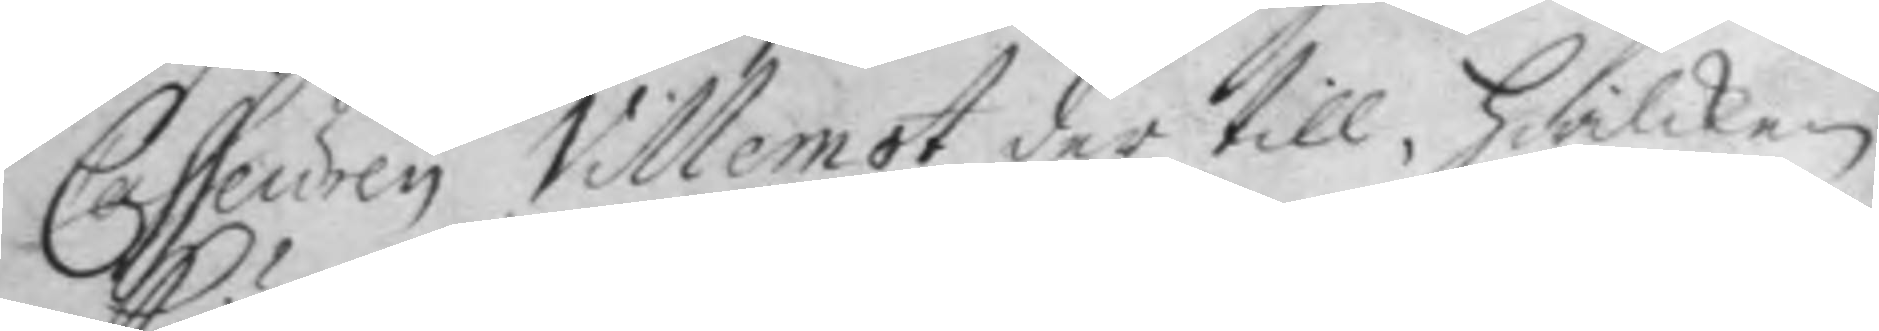Casseuren Villemot der till, hwilken
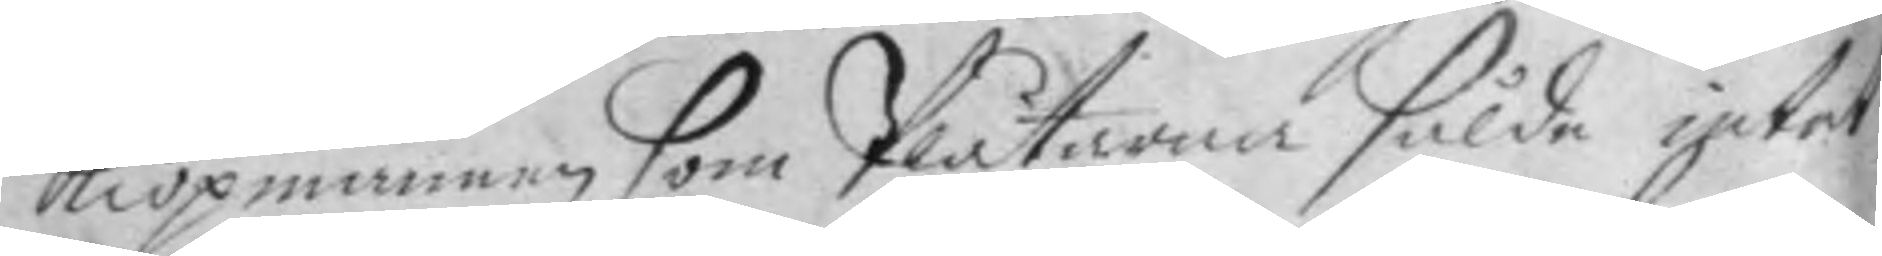kiöpmannen som Plåtarna sålde intet
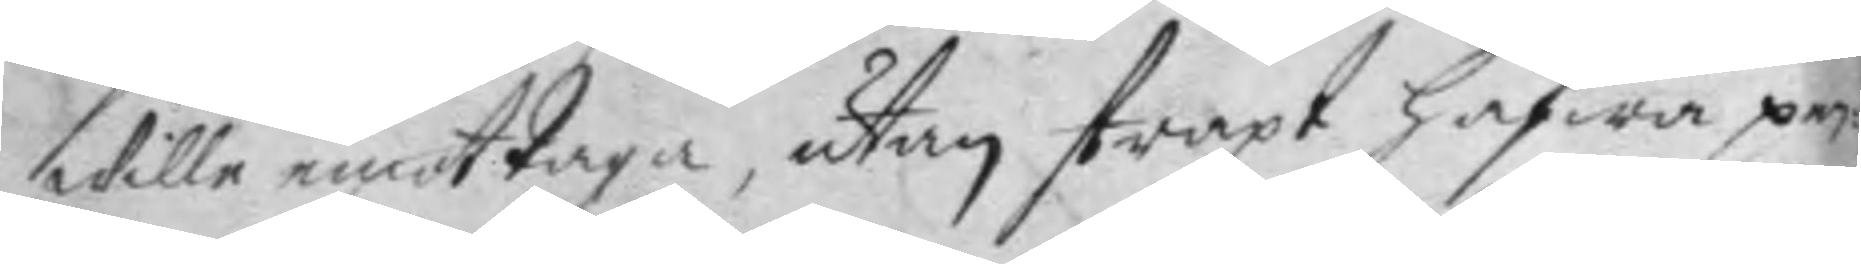Wille emot taga, utan straxt hafwa pe¬
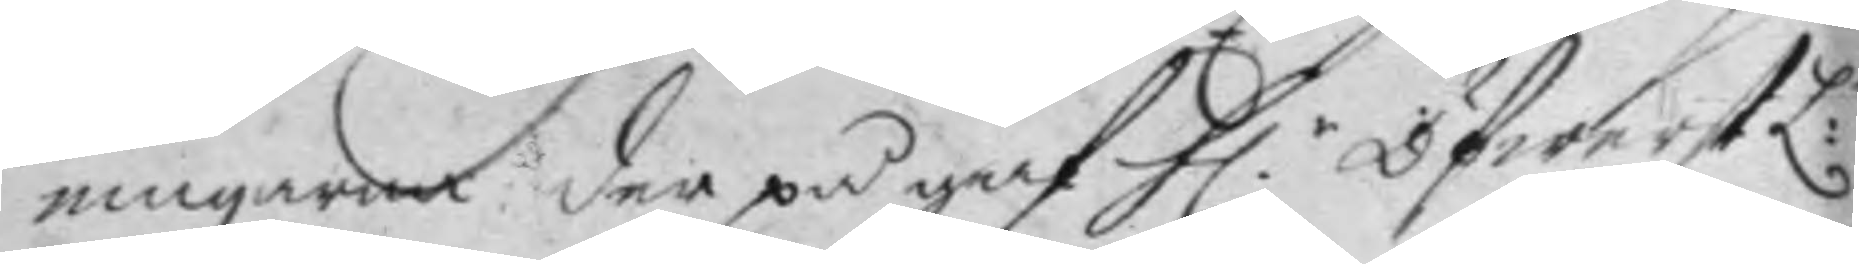ningarna der på gaf h.r ÖfwerstL:n
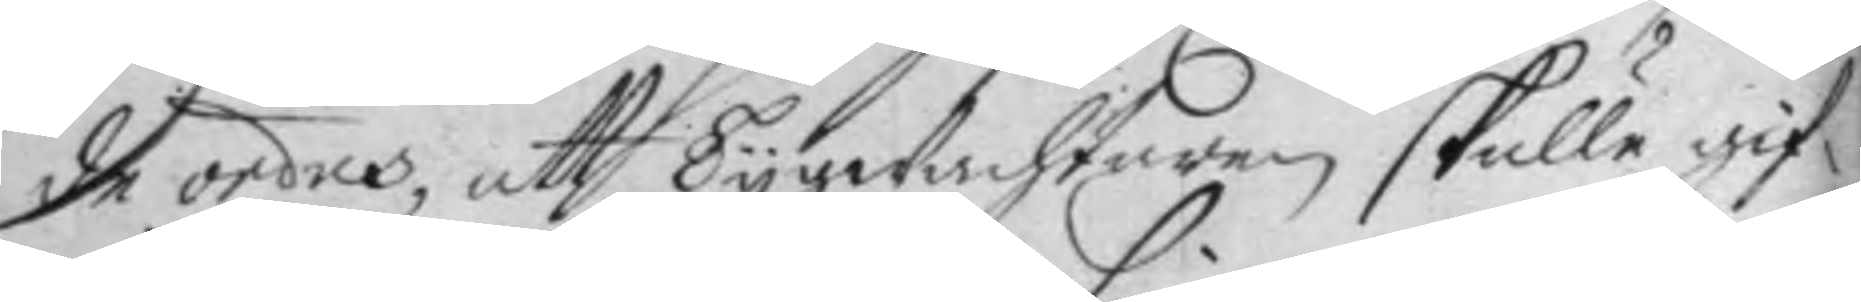de ordres, att Tygwachtaren skulle gif¬
